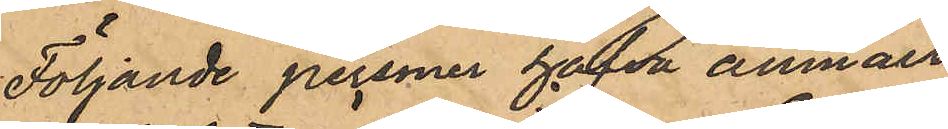Följande personer hafva anmält:
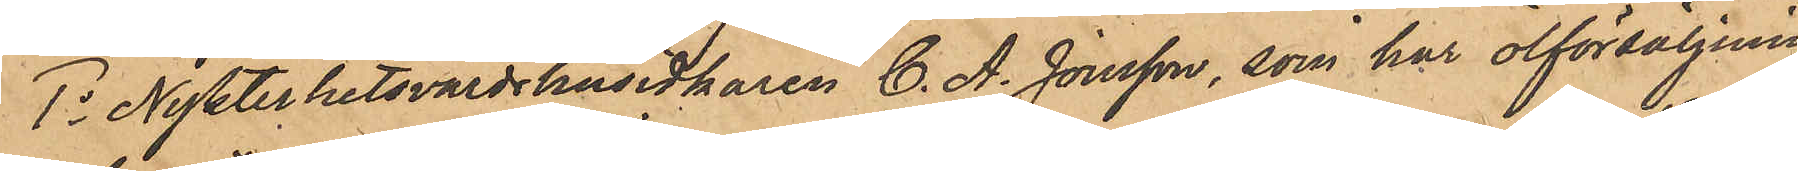1o Nykterhetsvärdshusidkaren C. A. Jonsson, som har ölförsäljning
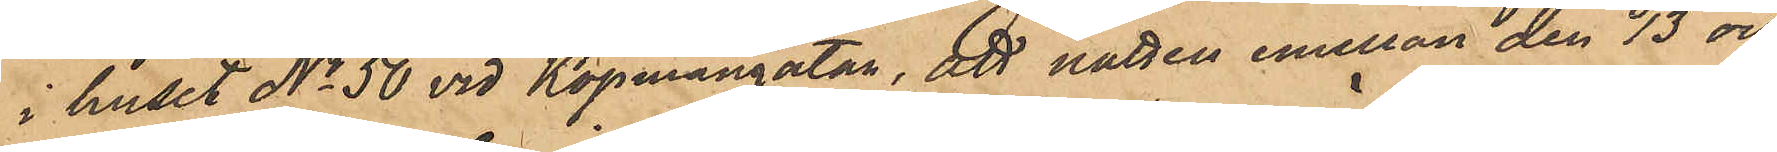i huset No 50 vid Köpmangatan, att natten emellan den 13 och
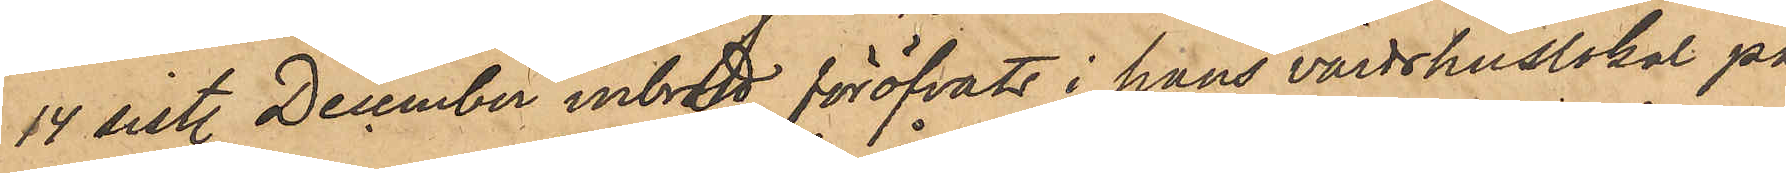14 sist. December inbrott föröfvats i hans värdshuslokal på
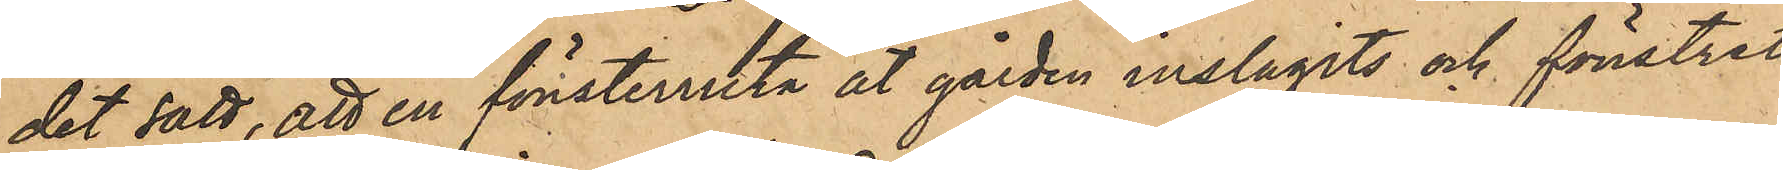det sätt, att en fönsterruta åt gården inslagits och fönstret
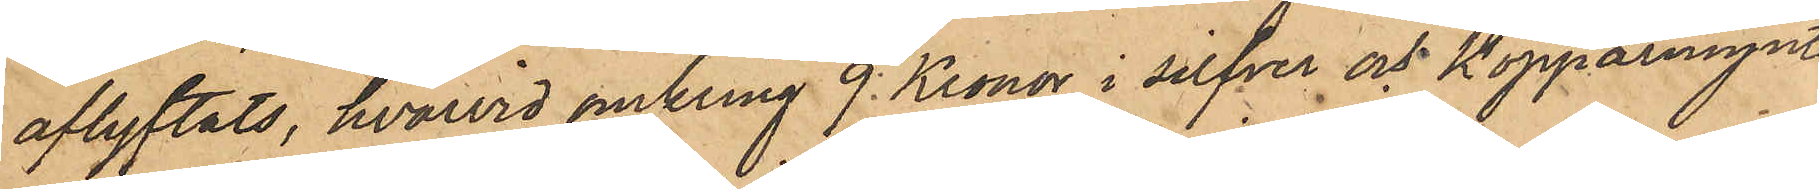aflyftats, hvarvid omkring 9 Kronor i silfver och kopparmynt,
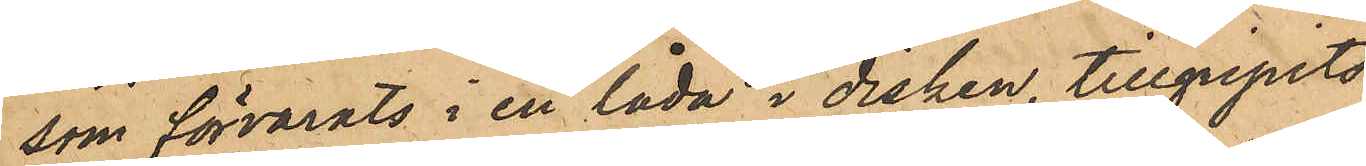som förvarats i en låda i disken, tillgripits;
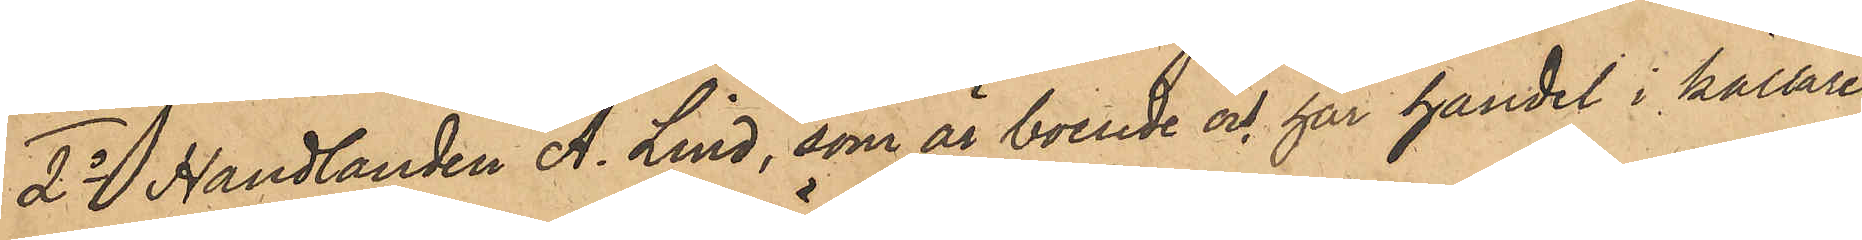2o Handlanden A. Lind, som är boende och har handel i källaren
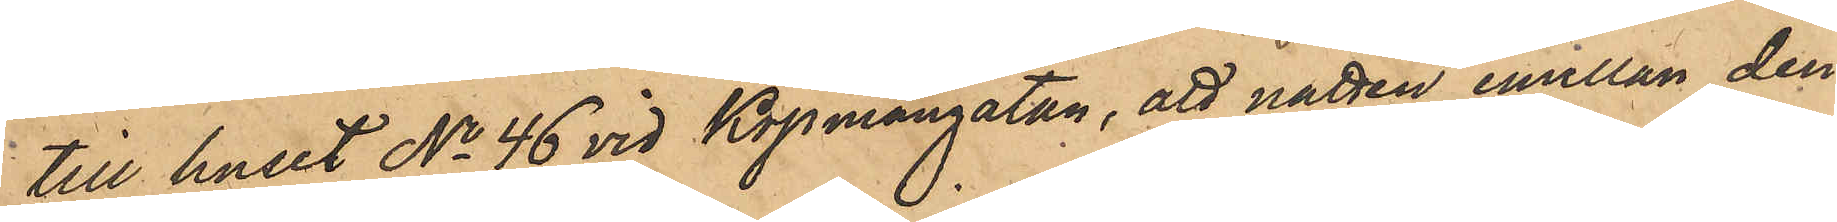till huset No 46 vid Köpmangatan, att natten emellan den
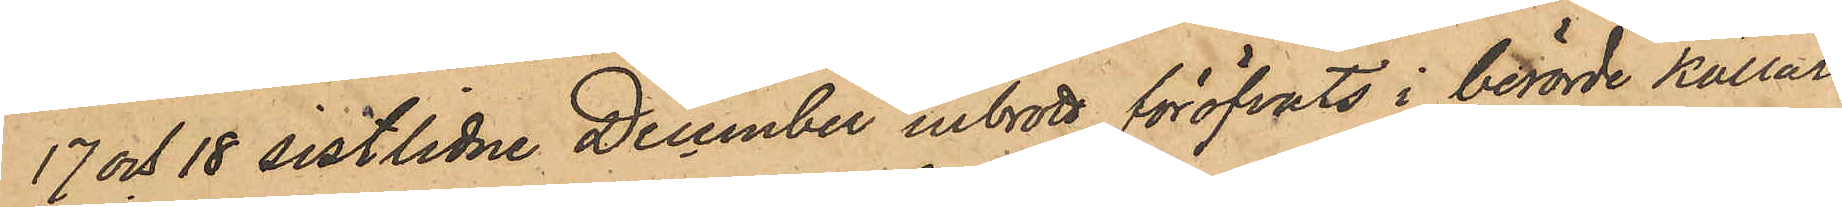17 och 18 sistlidne December inbrott föröfvats i berörde källare
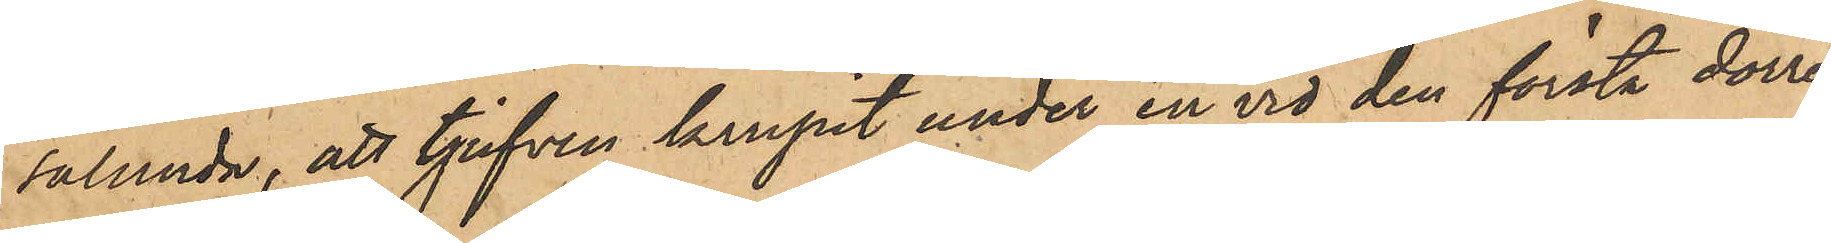sålunda, att tjufven krupit under en vid den första dörren
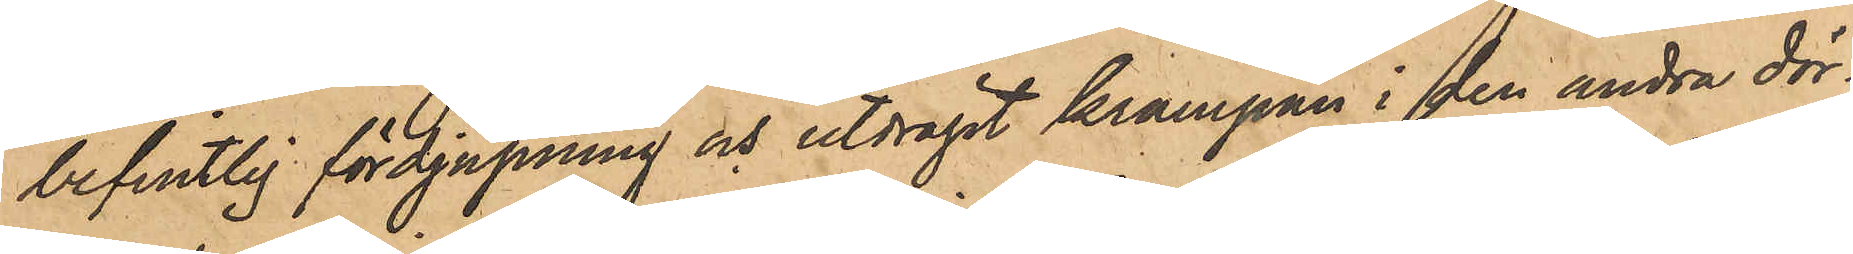befintlig fördjupning och utdragit krampan i den andra dör¬
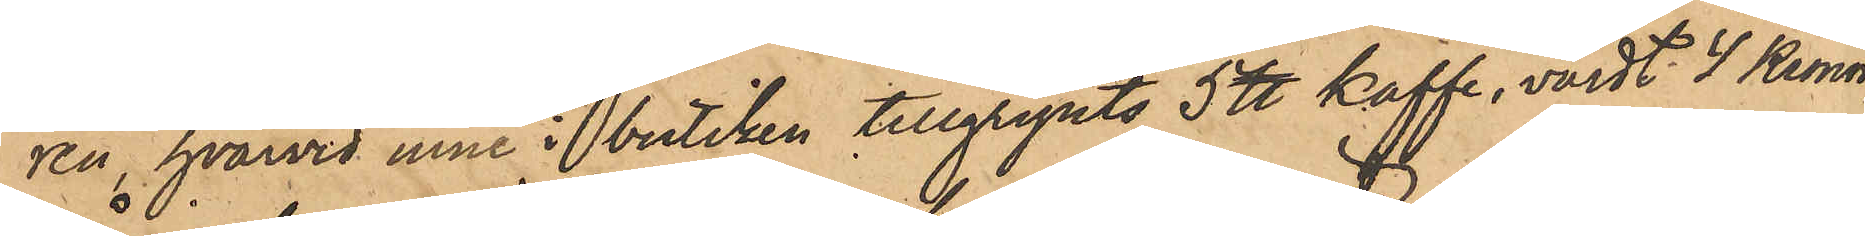ren, hvarvid inne i butiken tillgripits 5 ℔ kaffe, värdt 4 kronor,
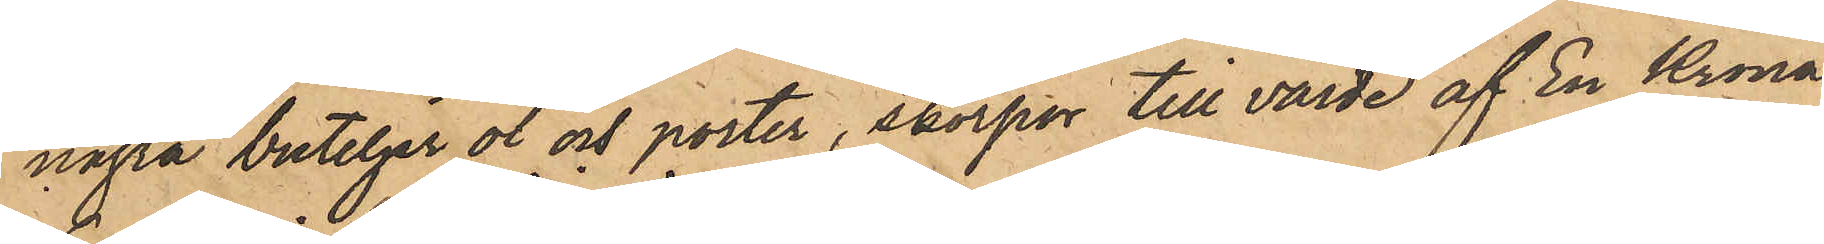några buteljer öl och porter, skorpor till värde af En Krona,
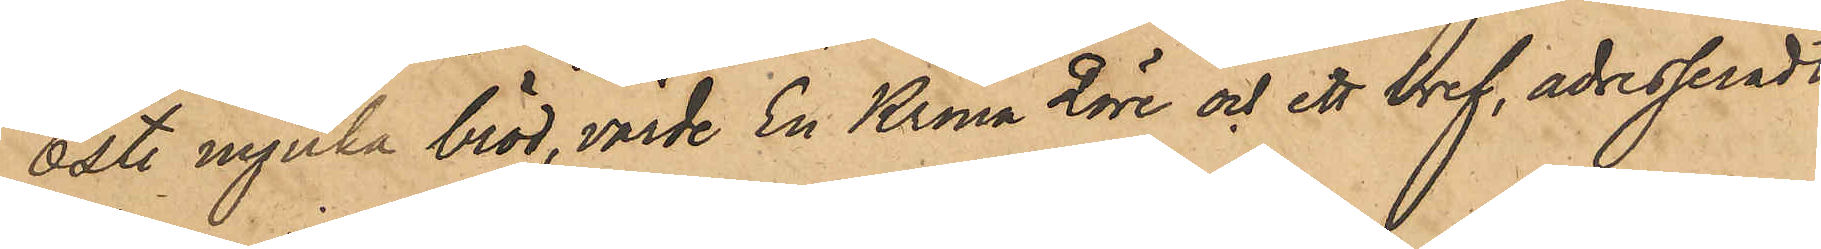6 st mjuka bröd, värde En Krona 2 öre och ett bref, adresseradt
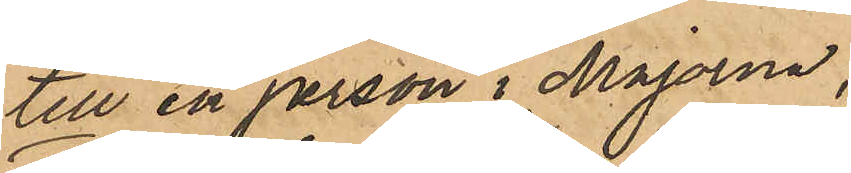till en person i Majorna;
